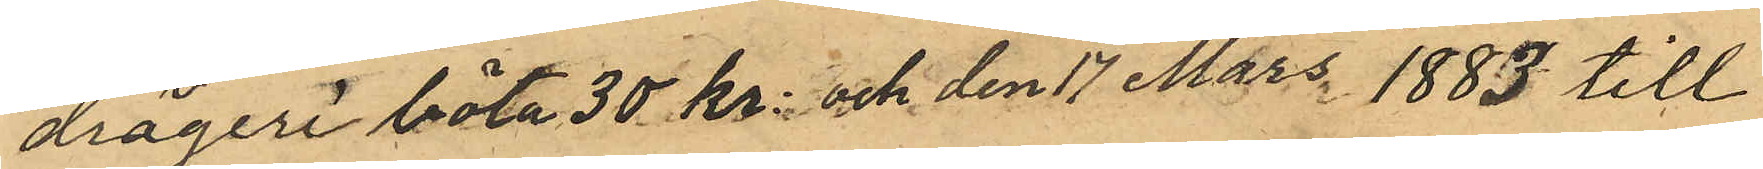drägeri böta 30 kr och den 17 Mars 1883 till
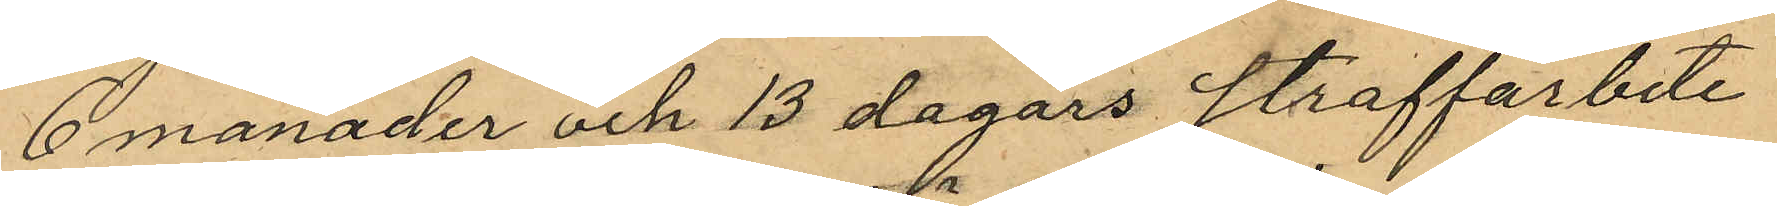6 månader och 13 dagars straffarbete
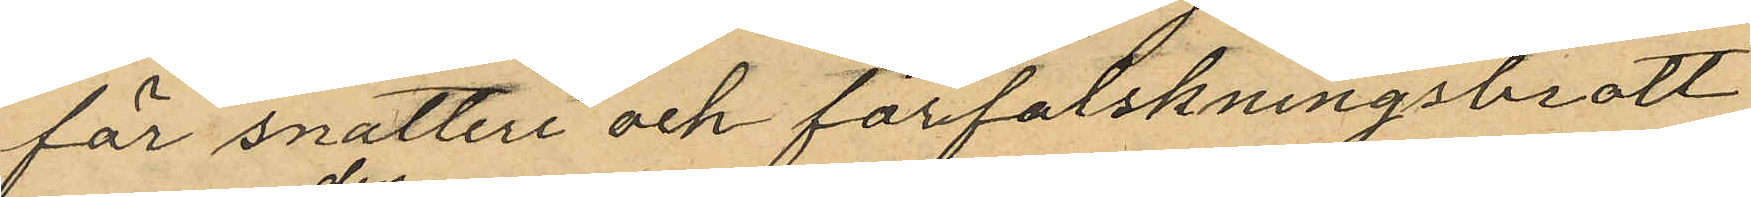för snatteri och förfalskningsbrott
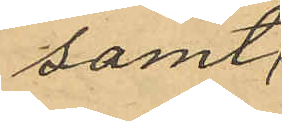samt
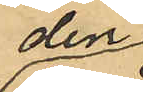den
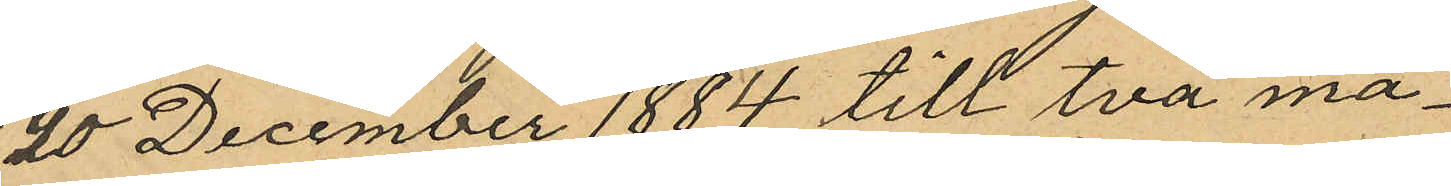20 December 1884 till två må¬
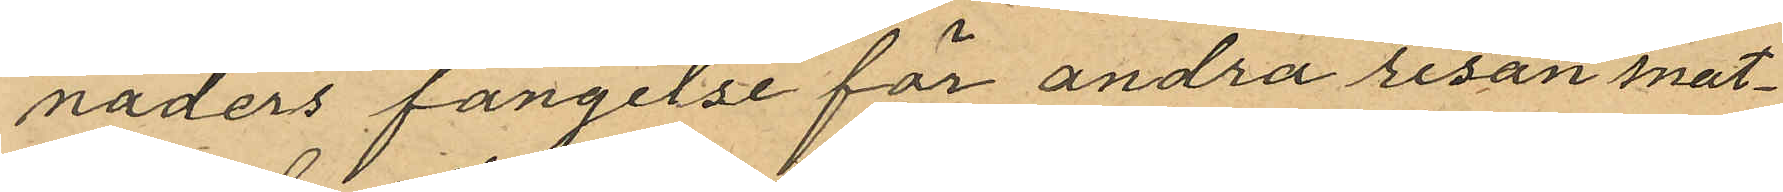naders fängelse för andra resan snat¬
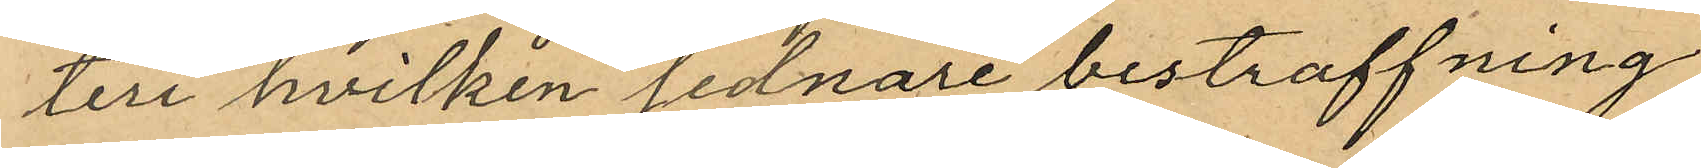teri hvilken sednare bestraffning
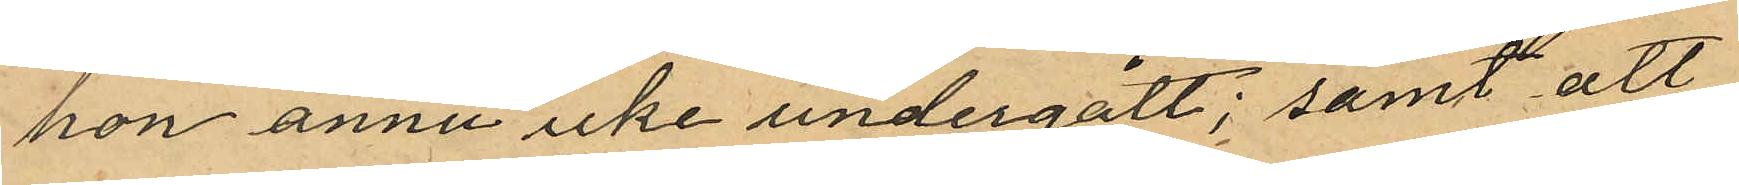hon ännu icke undergått; samt att
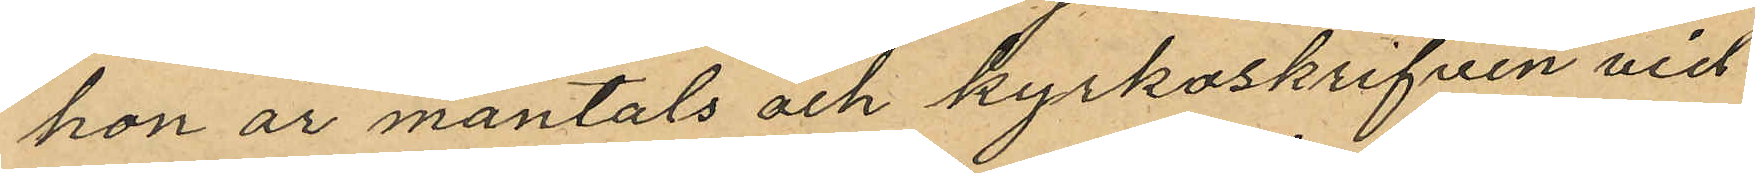hon är mantals och kyrkoskrifven vid
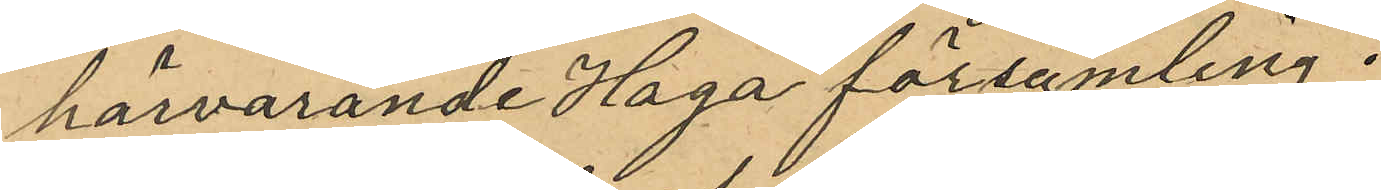härvarande Haga församling.
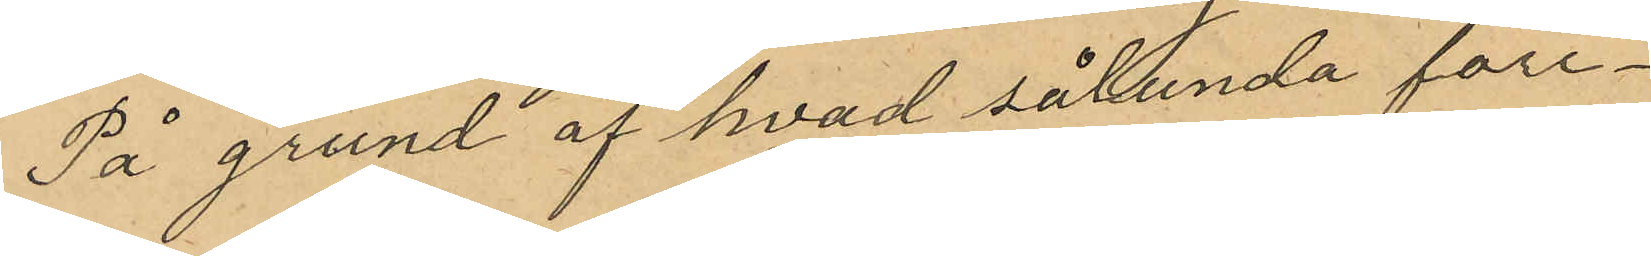På grund af hvad sålunda före¬
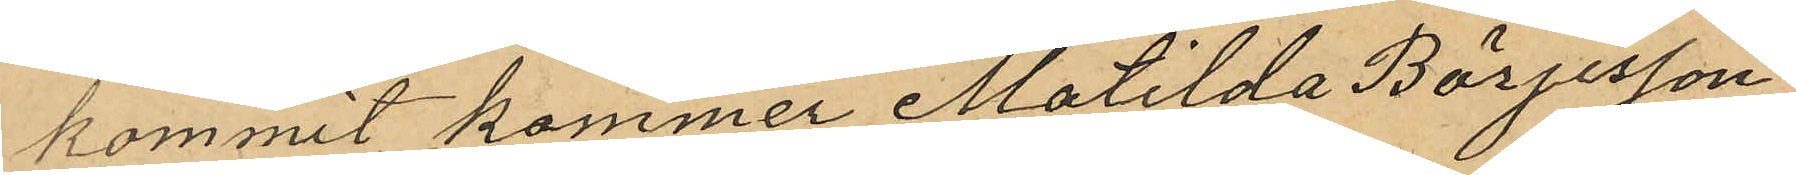kommit kommer Matilda Börjesson
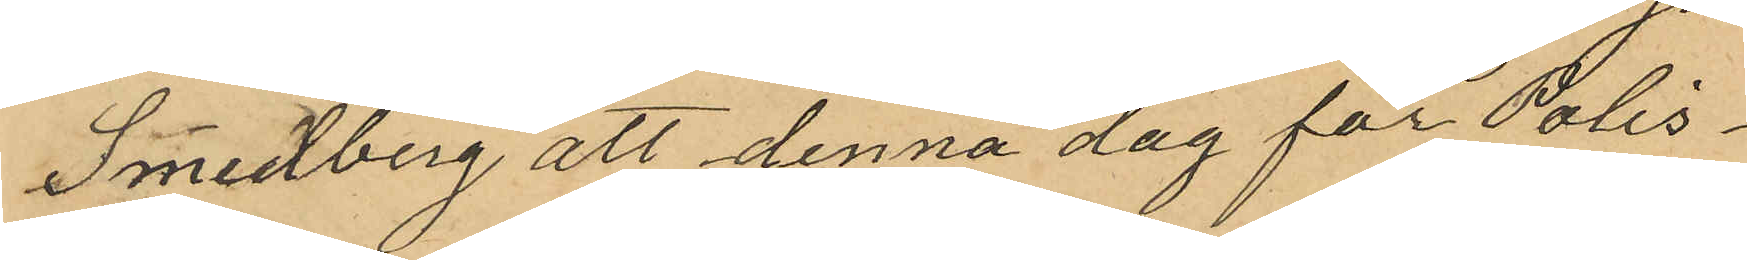Smedberg att denna dag för Polis¬
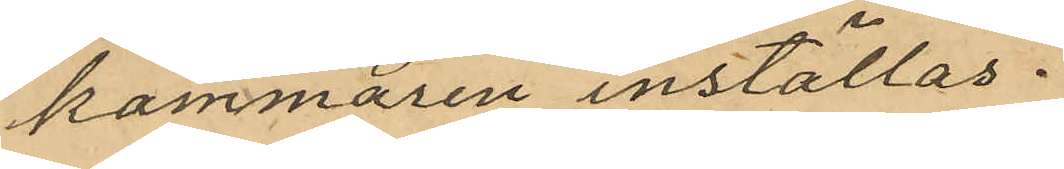kammaren inställas.
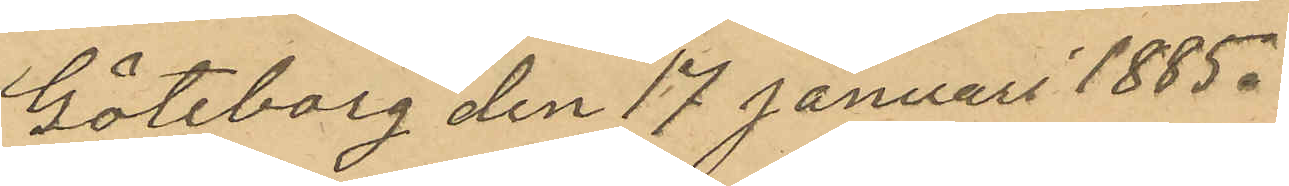Göteborg den 17 Januari 1885.
